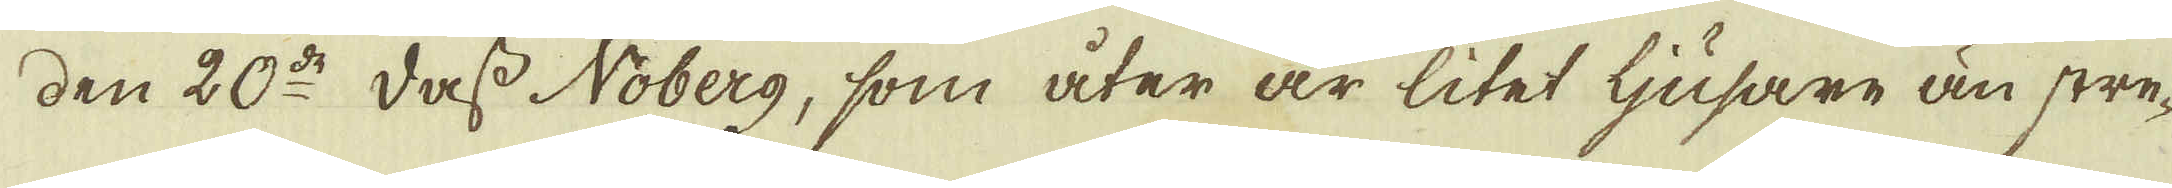den 20:de dass Noberg, som åter är litet ljusare än stre-
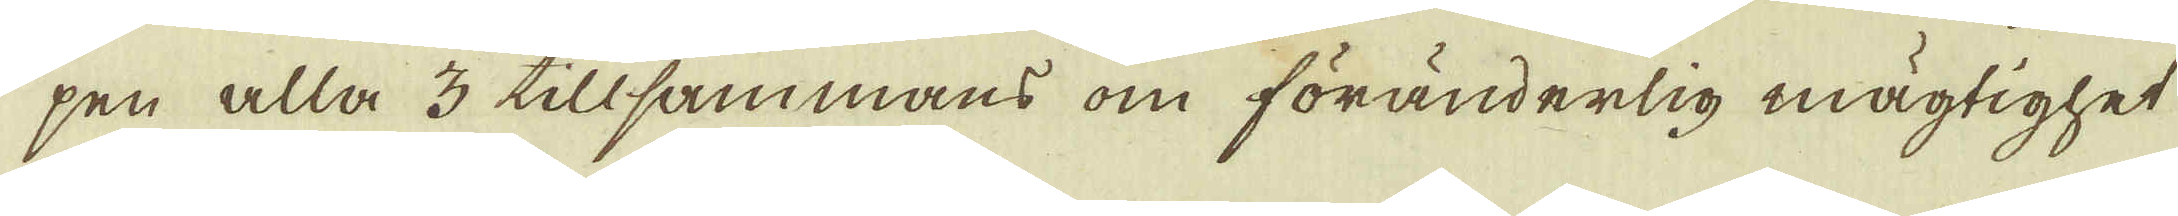pen alla 3 tillsammans om föränderlig mägtighet
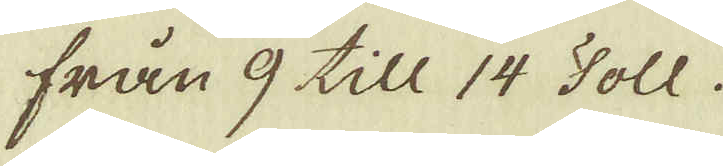från 9 till 14 Toll.
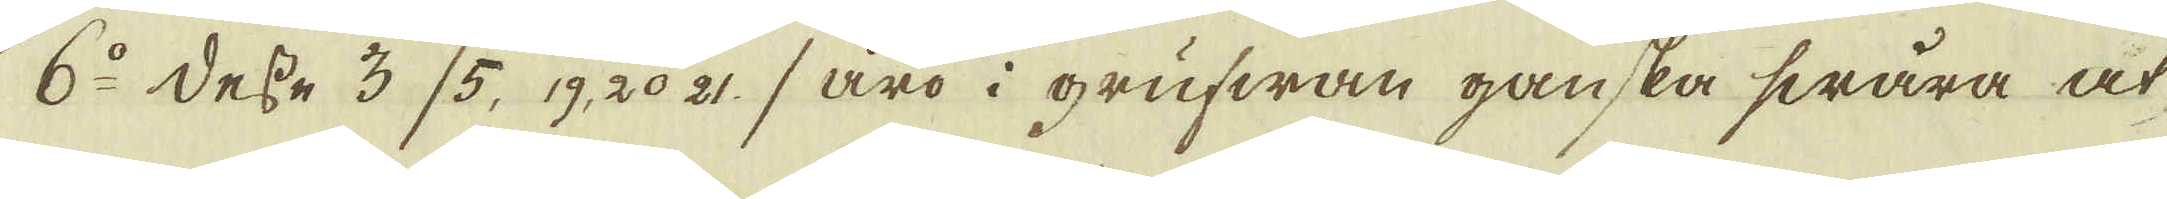6:o Desse 3 (5, 19. 20 21) äro i grufwan ganska swåra at
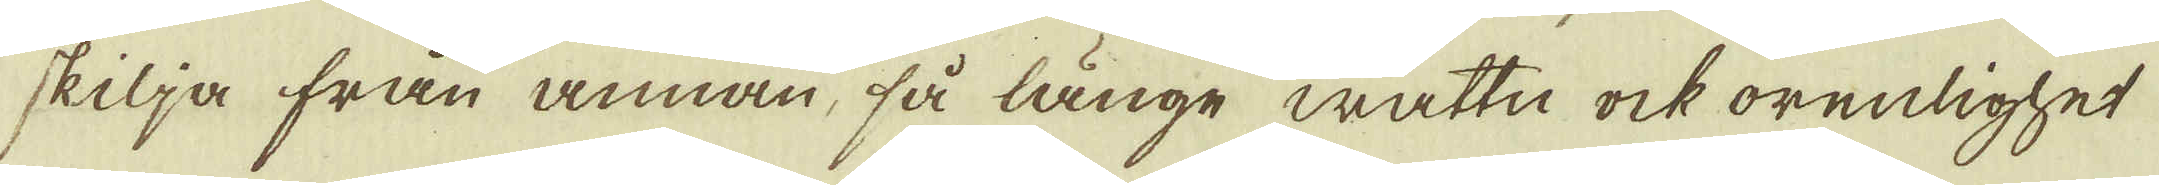skilja från annan, så länge wattn, ock orenlighet
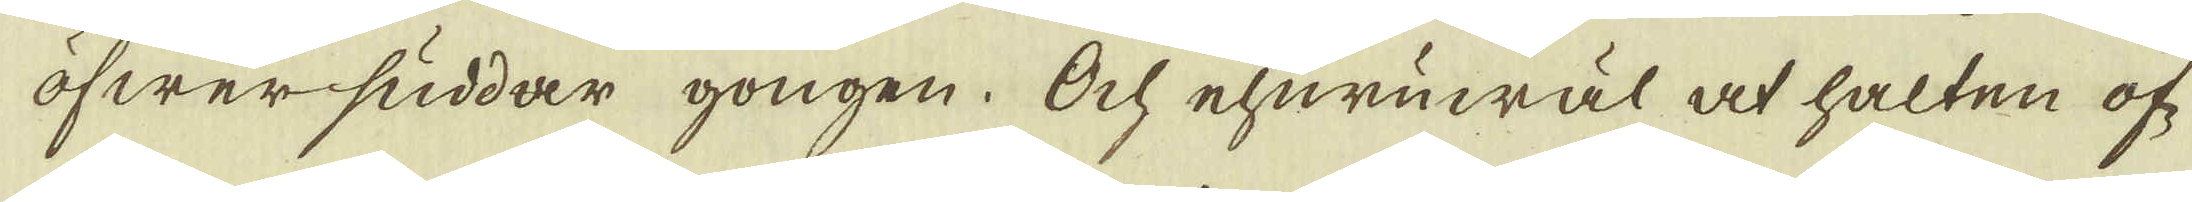öfwersuddar gongen. Och ehuruwäl at halten of-
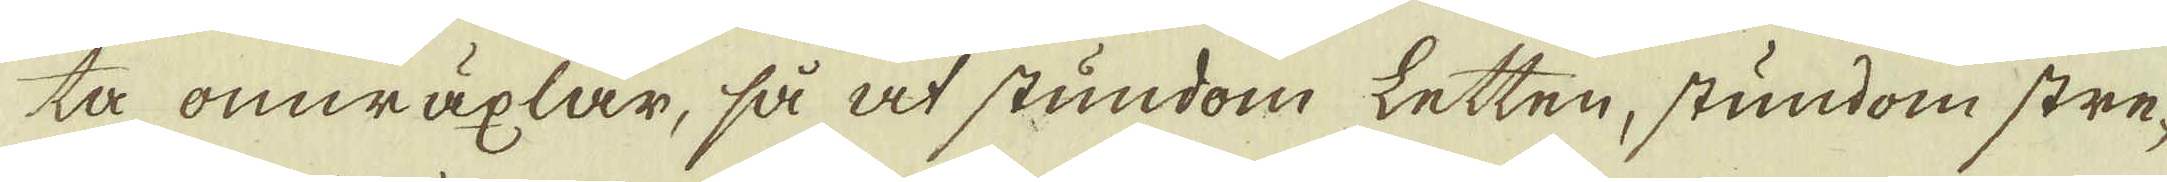ta omwäxlar, så at stundom letten, stundom stre-
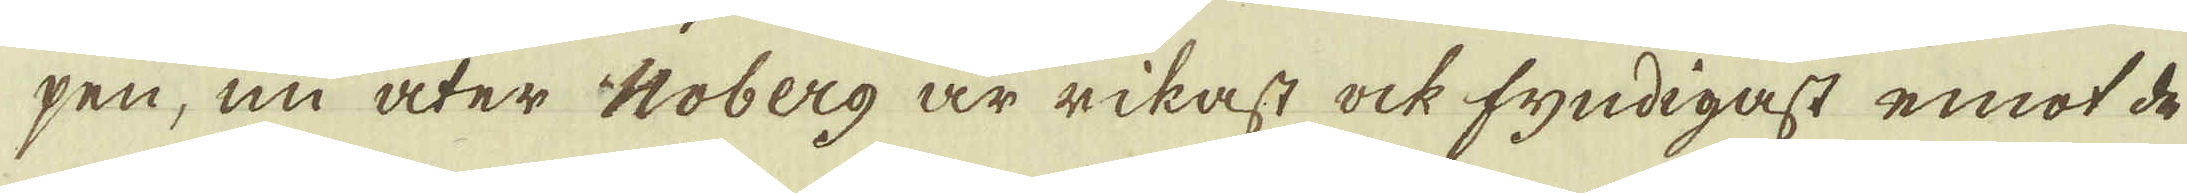pen, nu åter Noberg är rikast ock fyndigast emot de
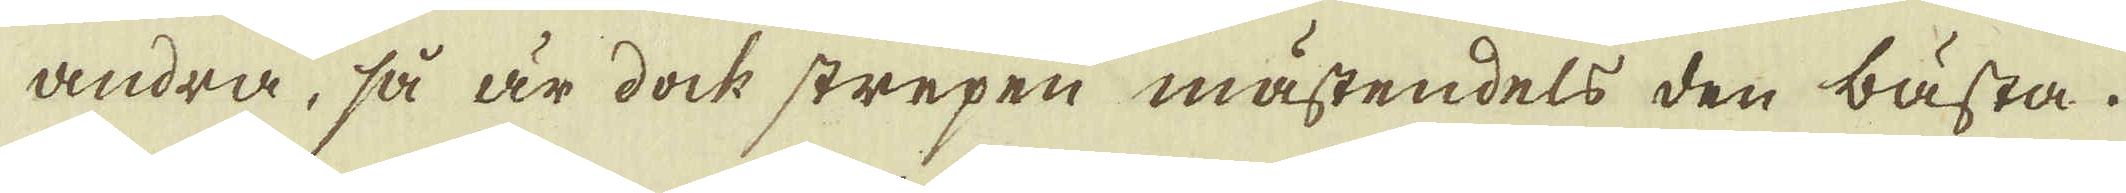andra, så är dock strepen mästendels den bästa.
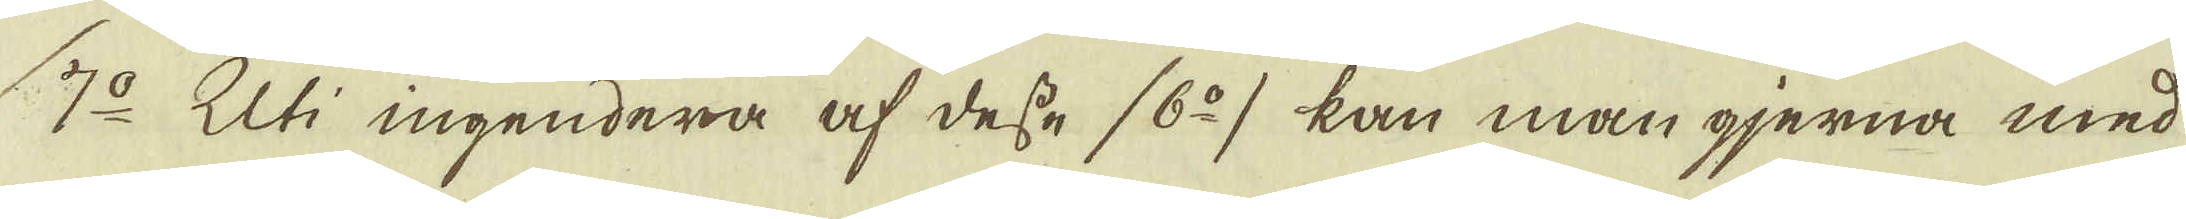7:o Uti ingendera af desse (6:o) kan man gjerna med
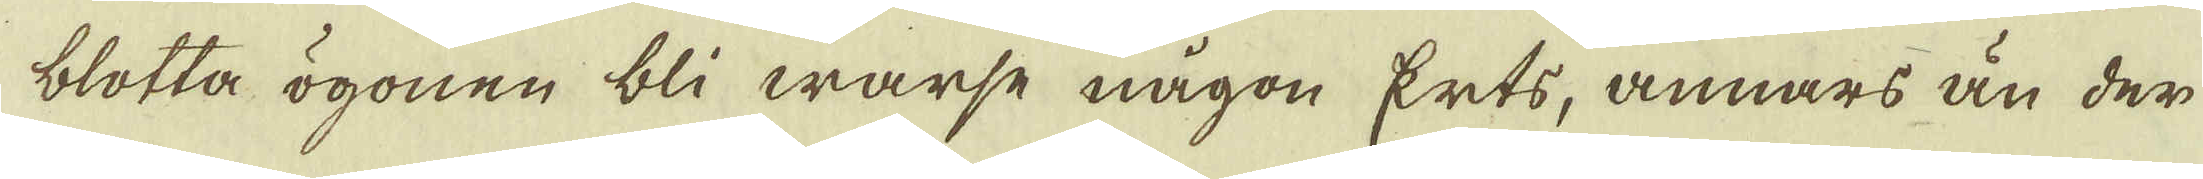blotta ögonen bli warse någon Erts, annars än der
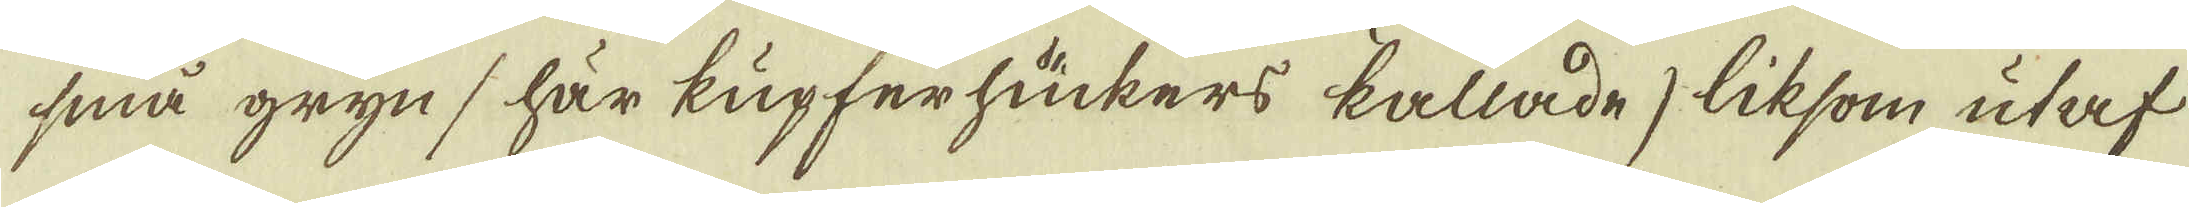små gryns här kupferhuckers kallade, liksom utaf
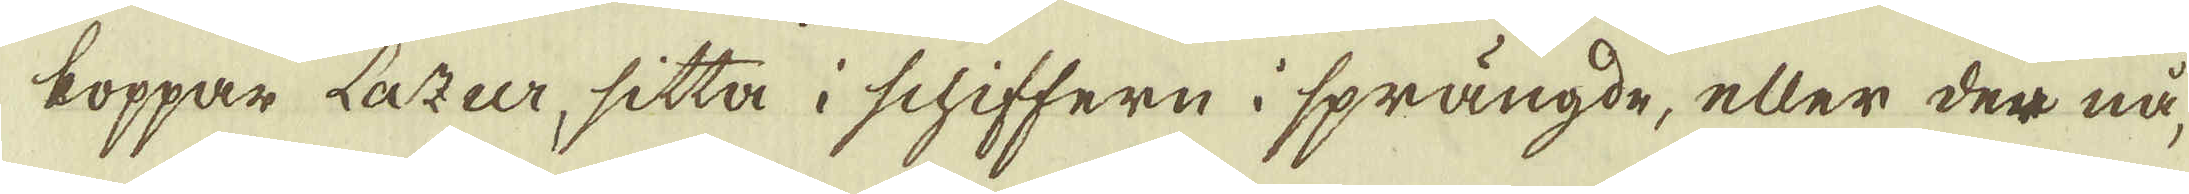koppar Lazer, sitta i schiffern i sprängde, eller der nå-
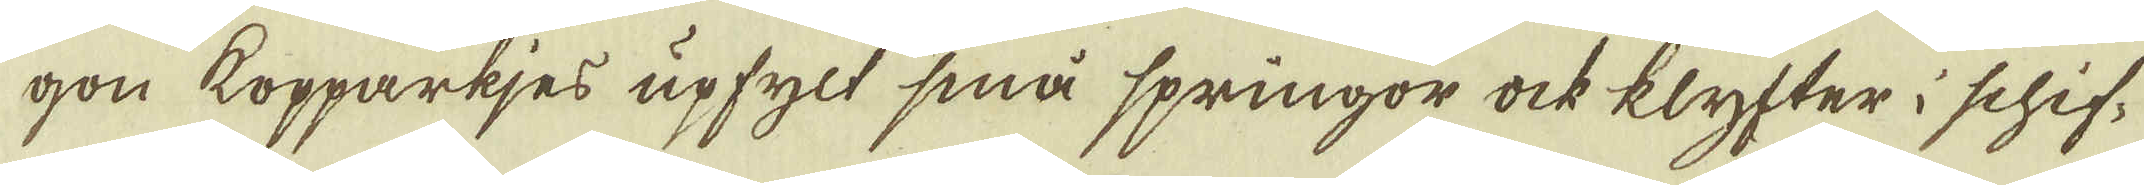gon kopparkjes upfylt små springor ock klyfter i schif-
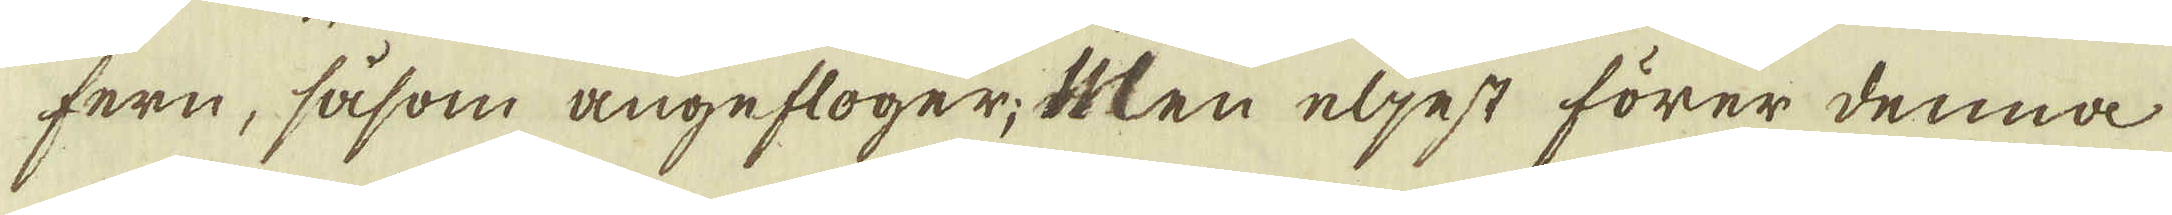fern, såsom angefloger; Men eljest förer denna
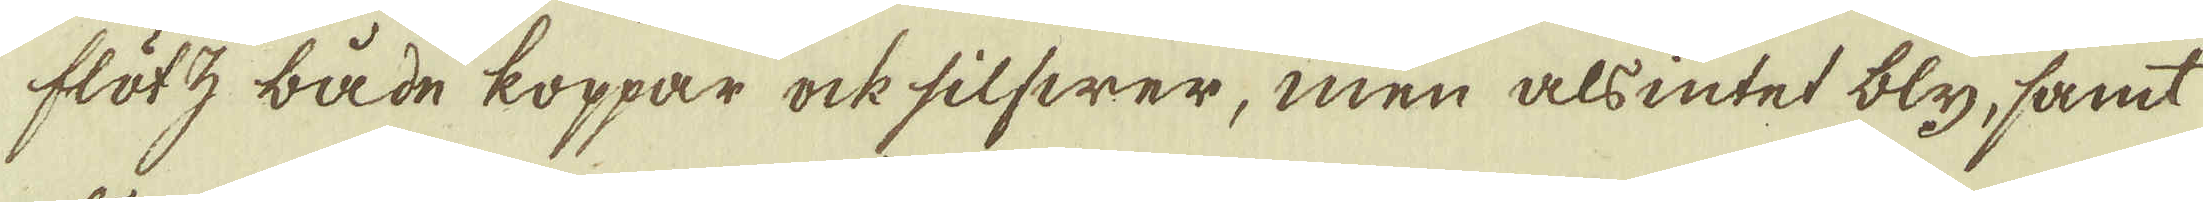flötz både koppar ock silfwer, men als intet bly, samt
